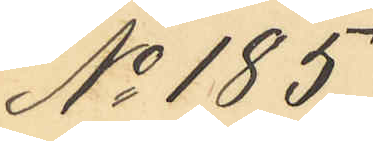No 185.
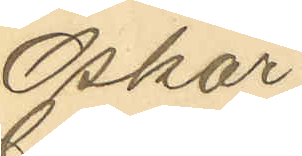Oskar
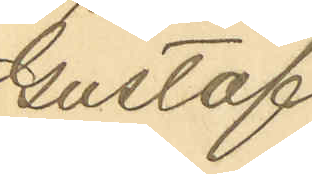Gustaf
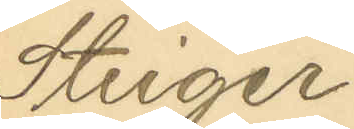Steiger
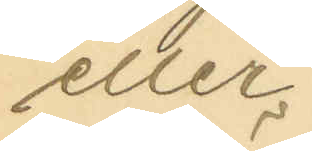eller
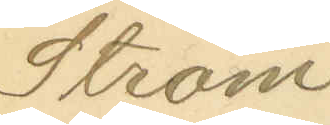Ström
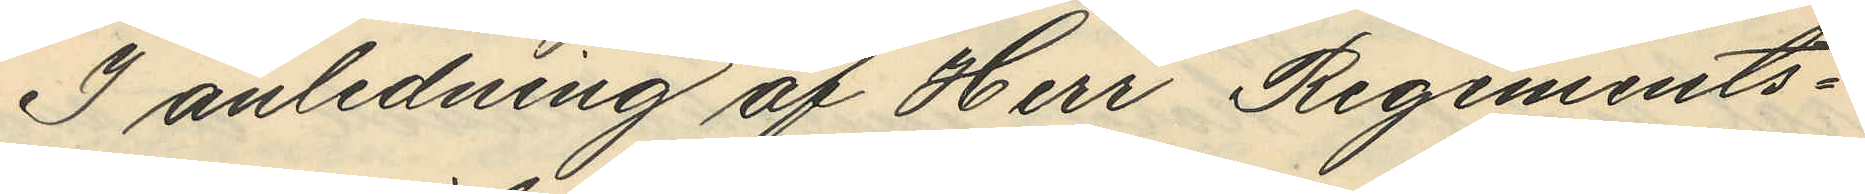I anledning af Herr Regements¬
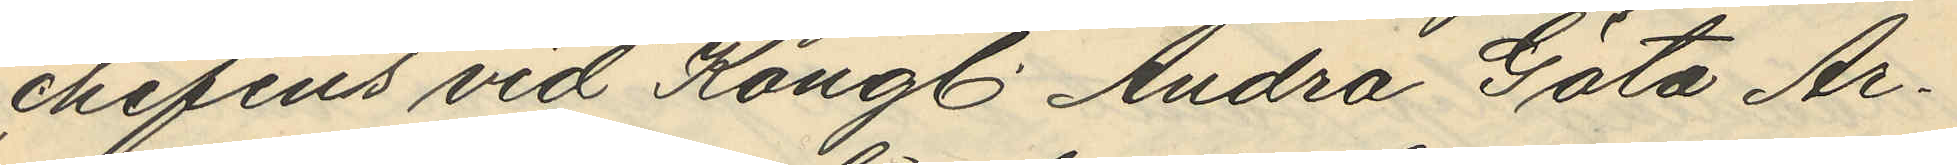chefeus vid Kongl. Andra Göta Ar¬
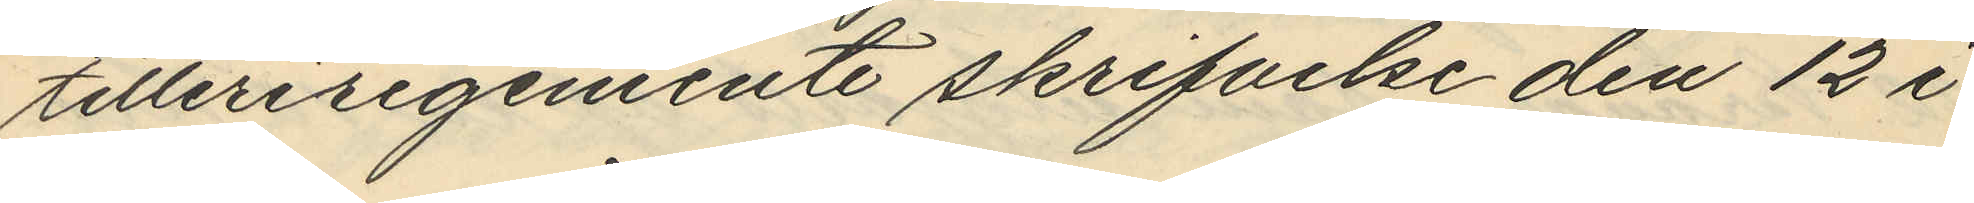tilleriregemente skrifvelse den 12 i
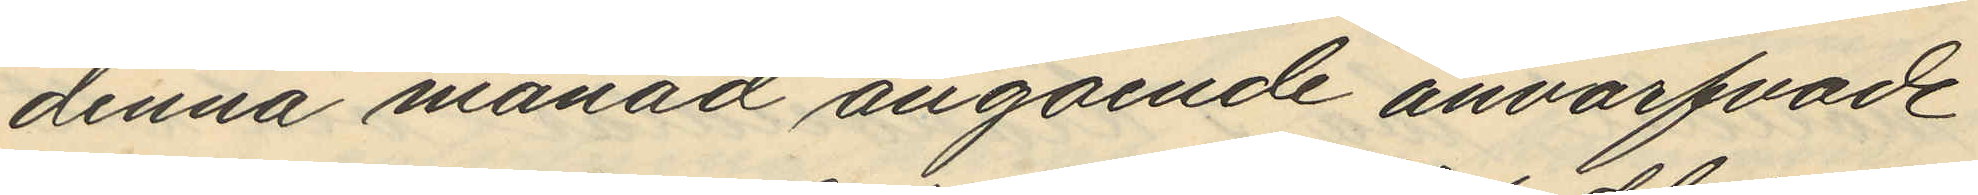denna månad angående anvarfvade
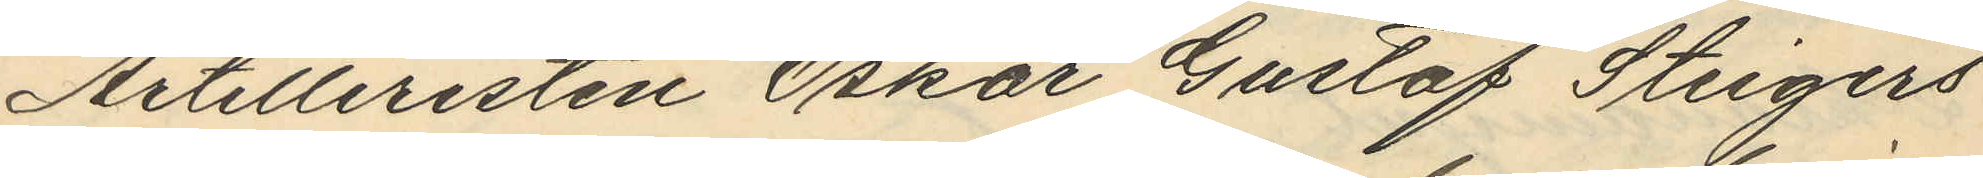Artilleristen Oskar Gustaf Steigers
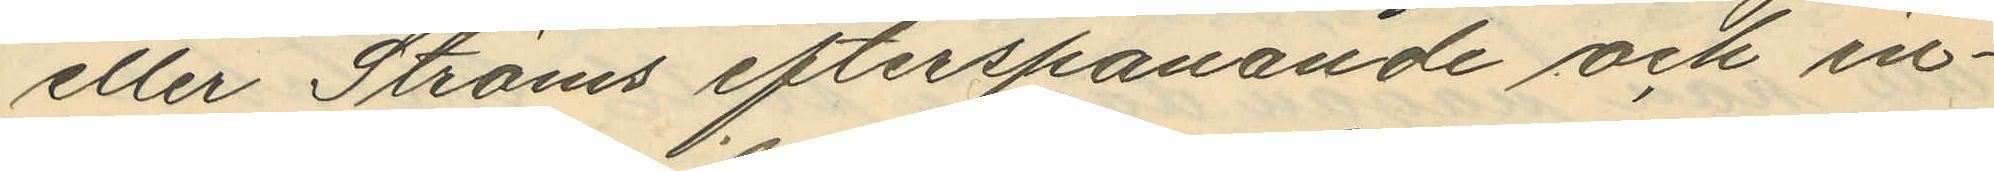eller Ströms efterspanande och in¬
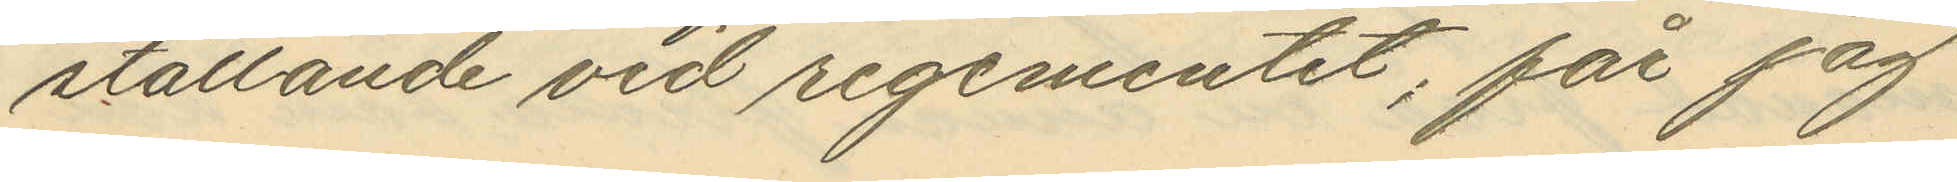ställande vid regementet; får jag
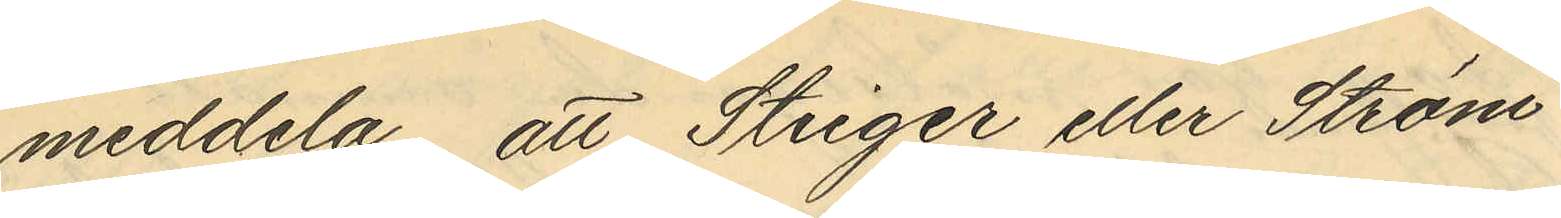meddela, att Steiger eller Ström
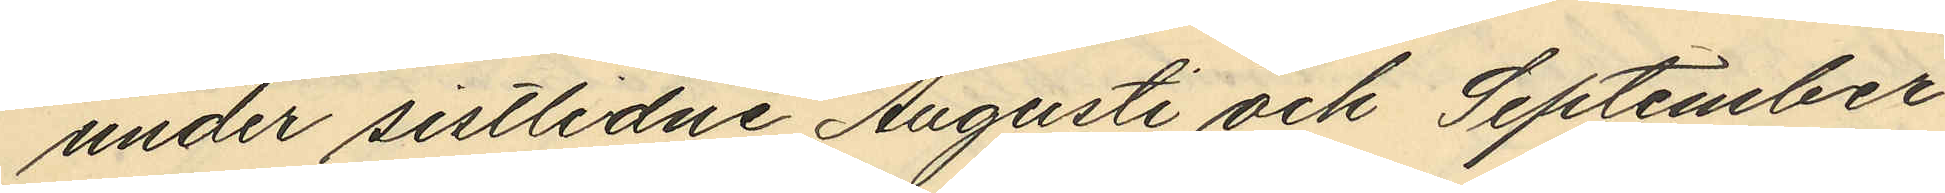under sistlidne Augusti och September
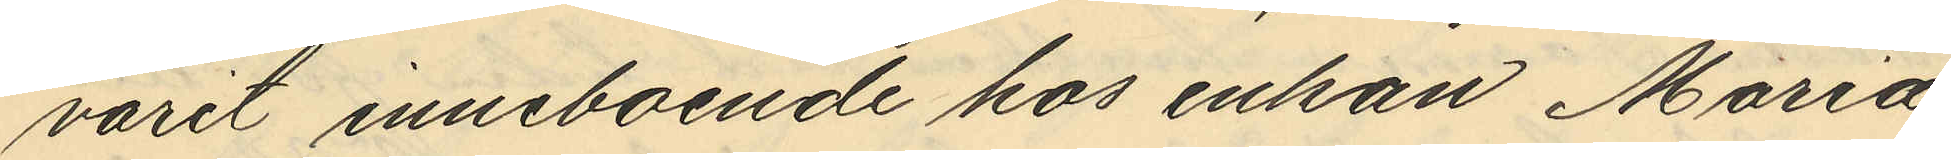varit inneboende hos enkan Maria
